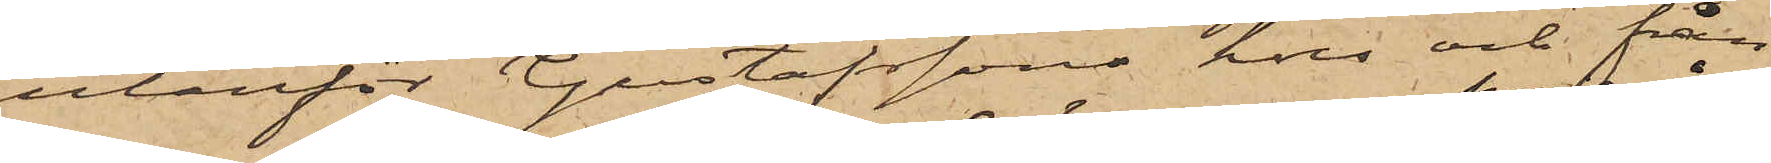utanför Gustafssons hus och från
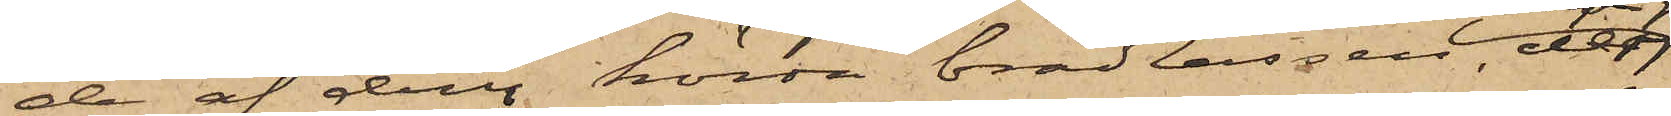de af dem körda brädlassen, de
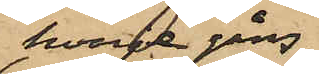hvarje gång
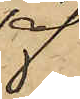deraf
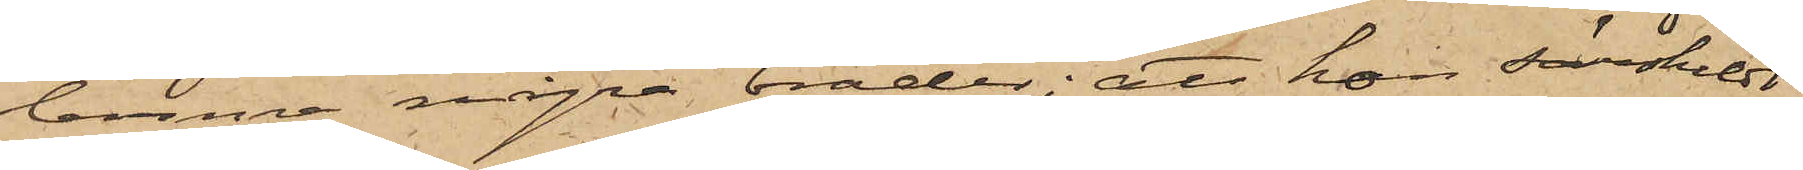lemna några bräder; att hon särskildt
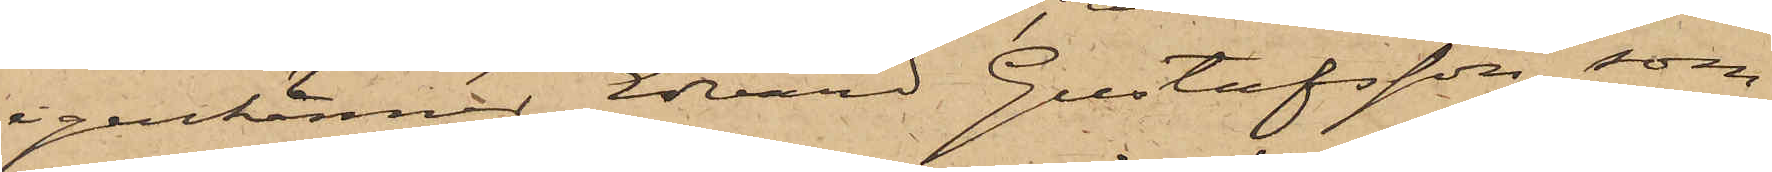igenkänner Edvard Gustafsson, som
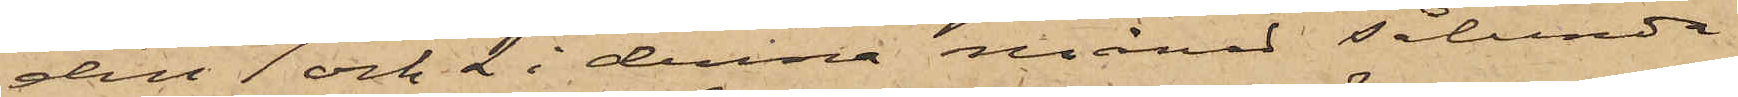den 1 och 2 i denna månad sålunda
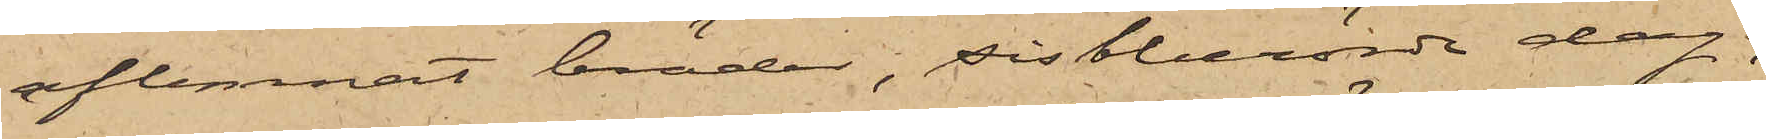aflemnat bräder, sistberörde dag,
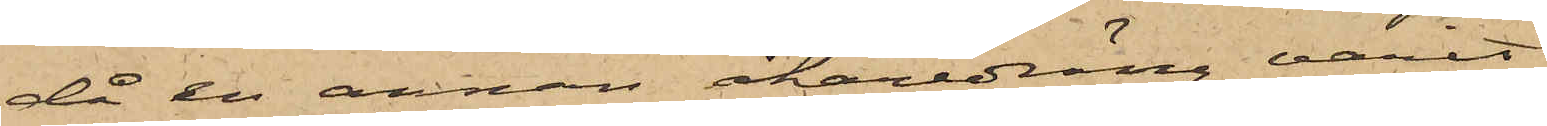då en annan åkaredräng varit
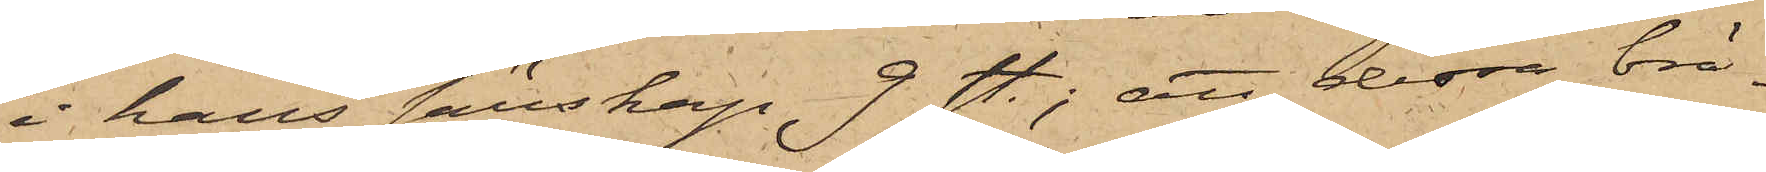i hans sällskap 9 st; att dessa brä¬
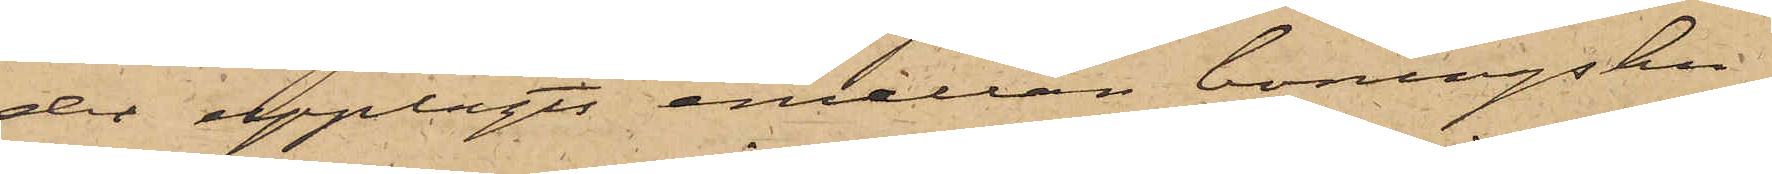der upplagts emellan boningshu¬
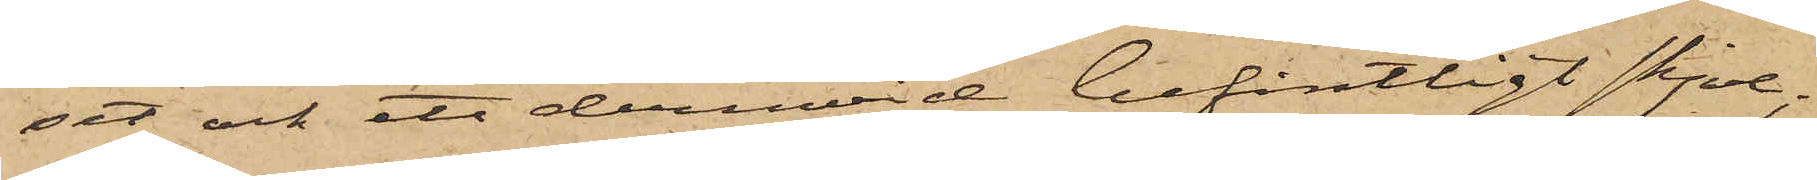set och ett derinvid befintligt skjul,
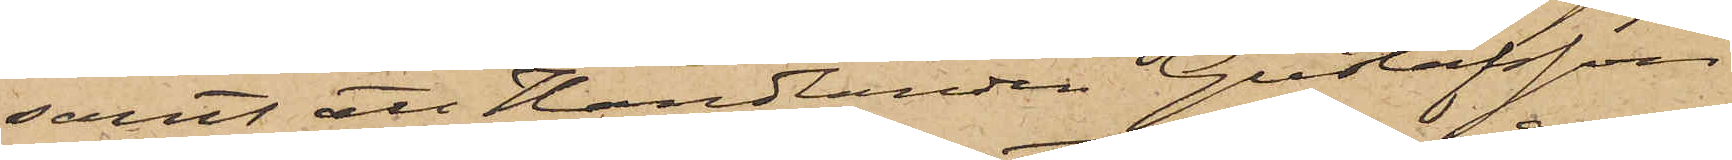samt att Handlanden Gustafsson
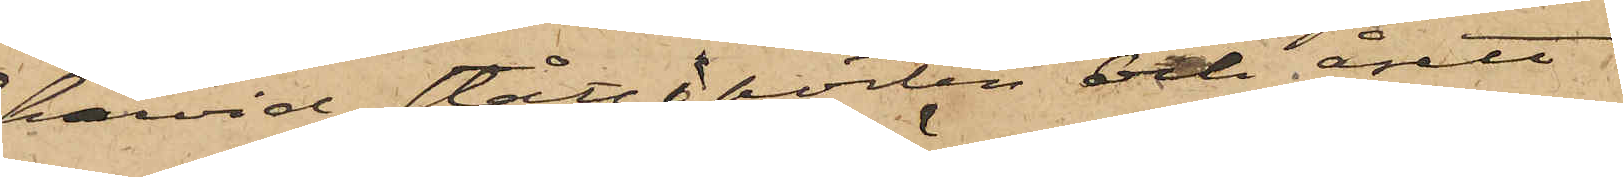härvid stått i porten och åsett
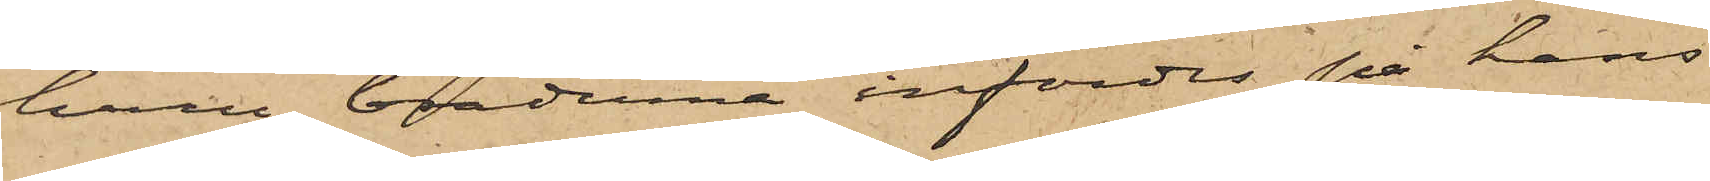huru bräderna infördes på hans
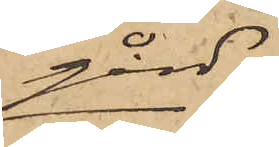gård;
